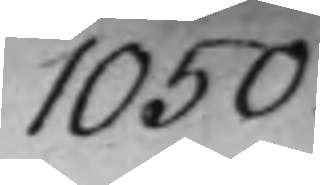1050.
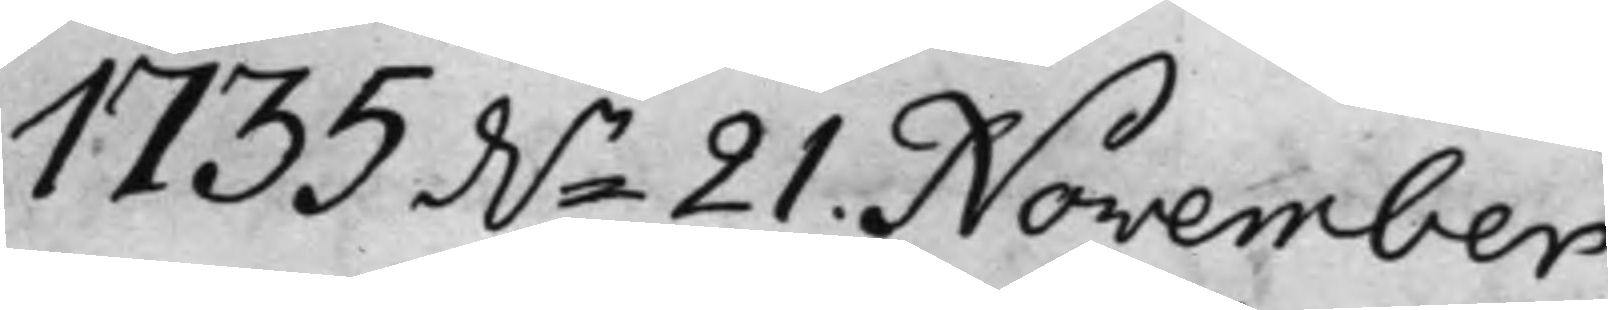1735 d.n 21. November,
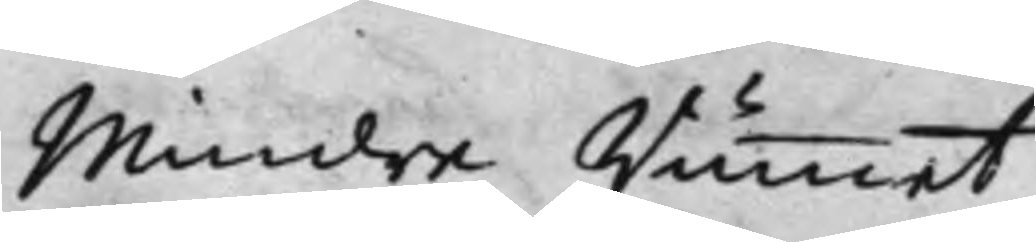Mindre Rummet.
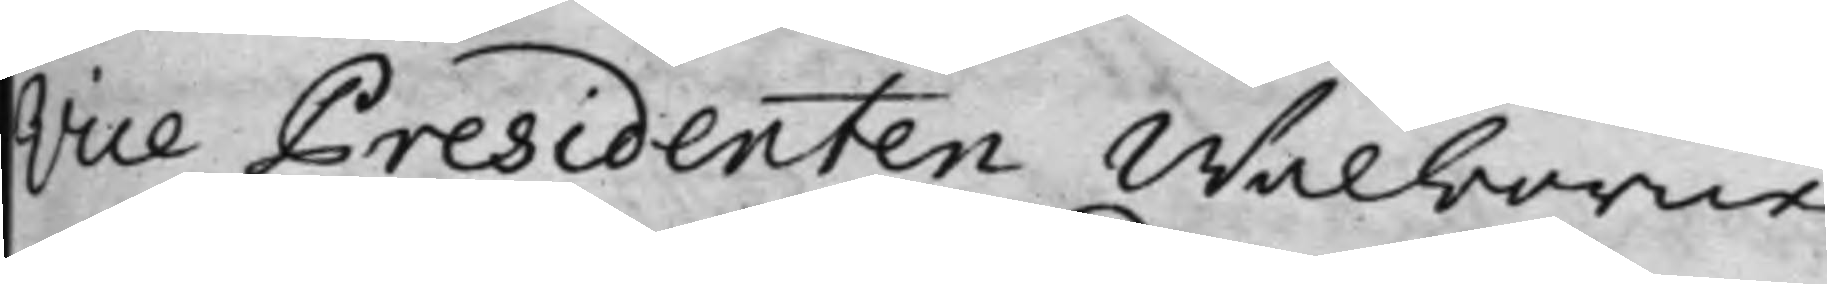Vice Presidenten Wälborne
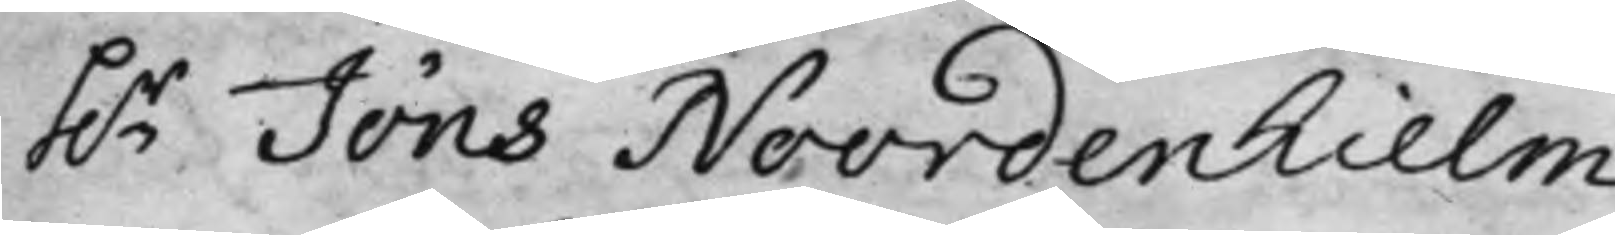h.r Jöns Noordenhielm
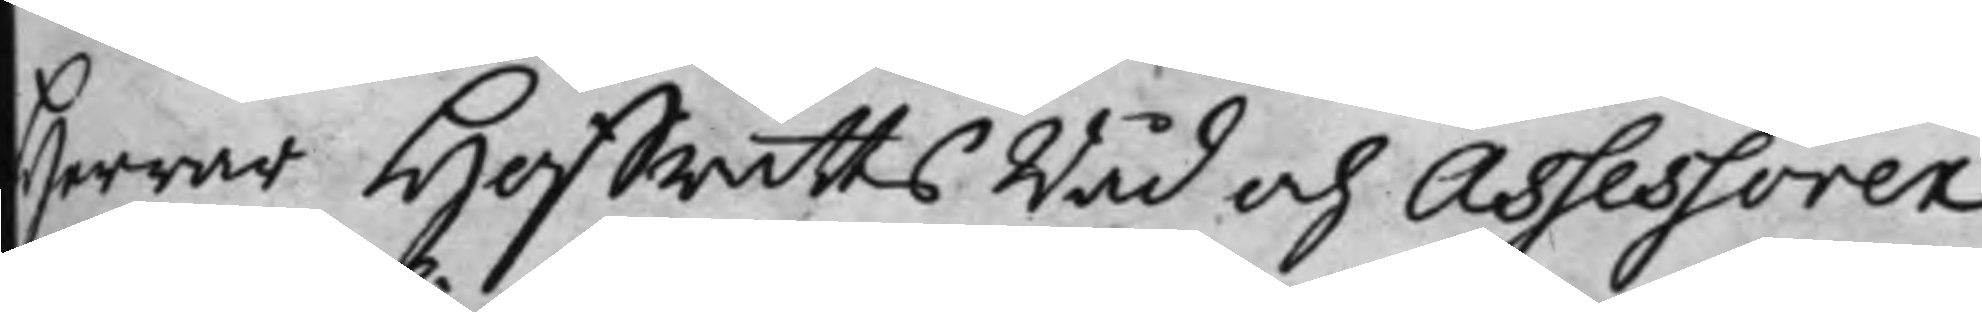Herrar HoffrättsRåd och Assessorer
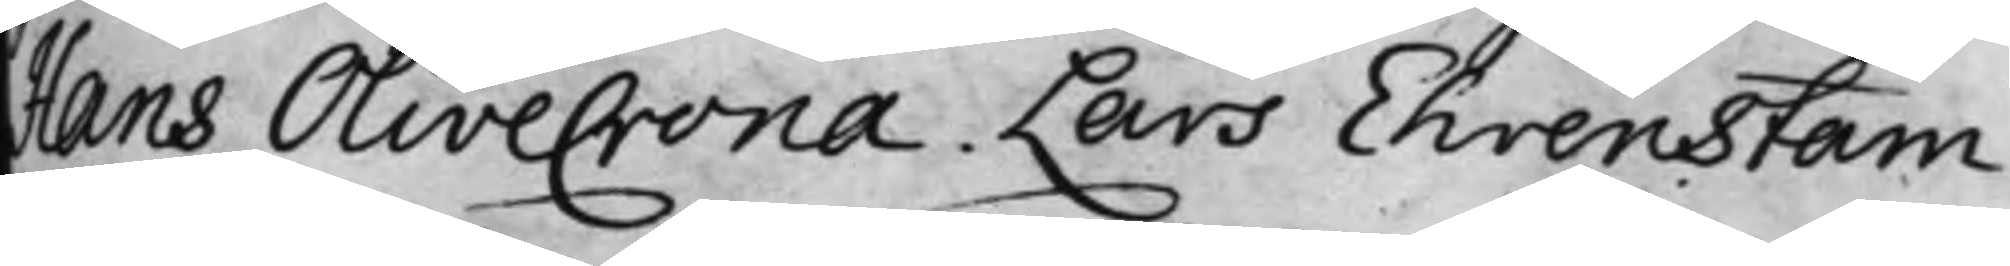Hans Olivecrona. Lars Ehrenstam.
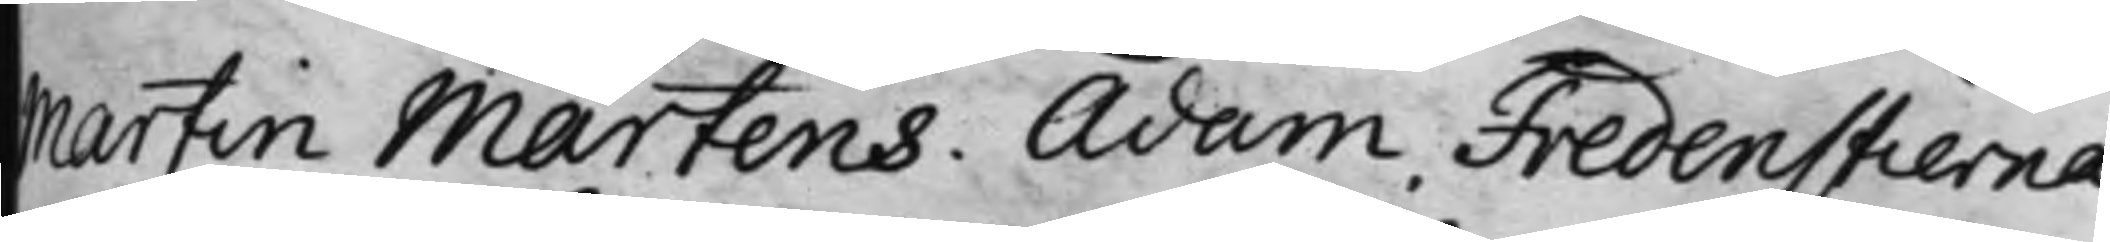Martin Martens. Adam Fredenstierna
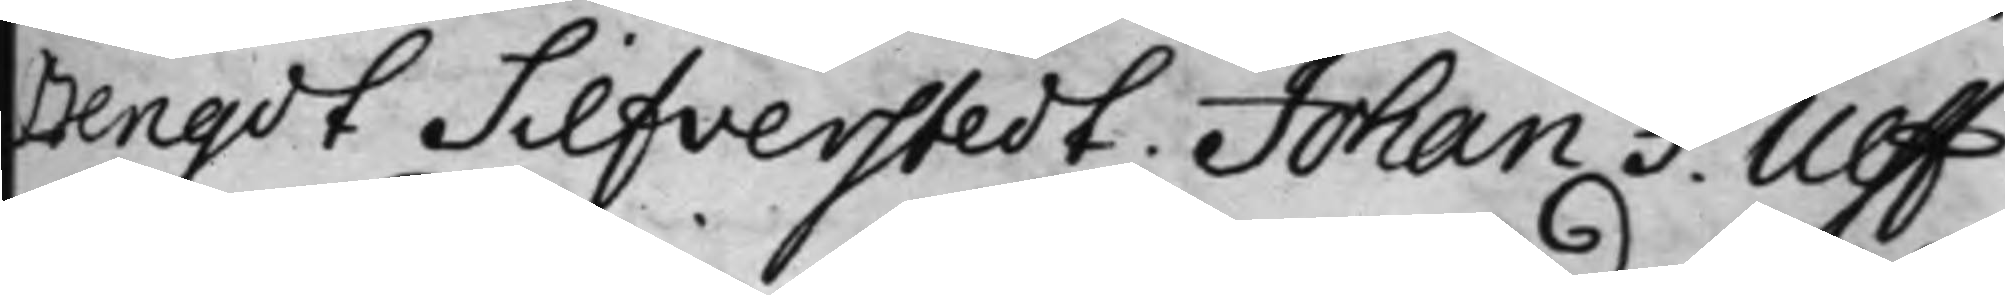Bengdt Silfverstedt, Johan F. Ulff
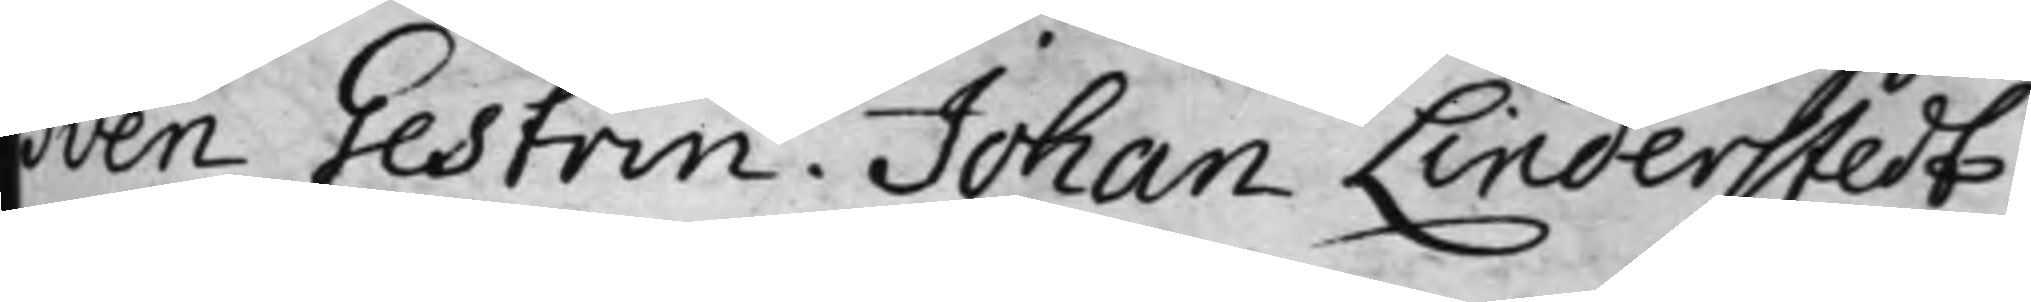Sven Gestrin. Johan Linderstedt.
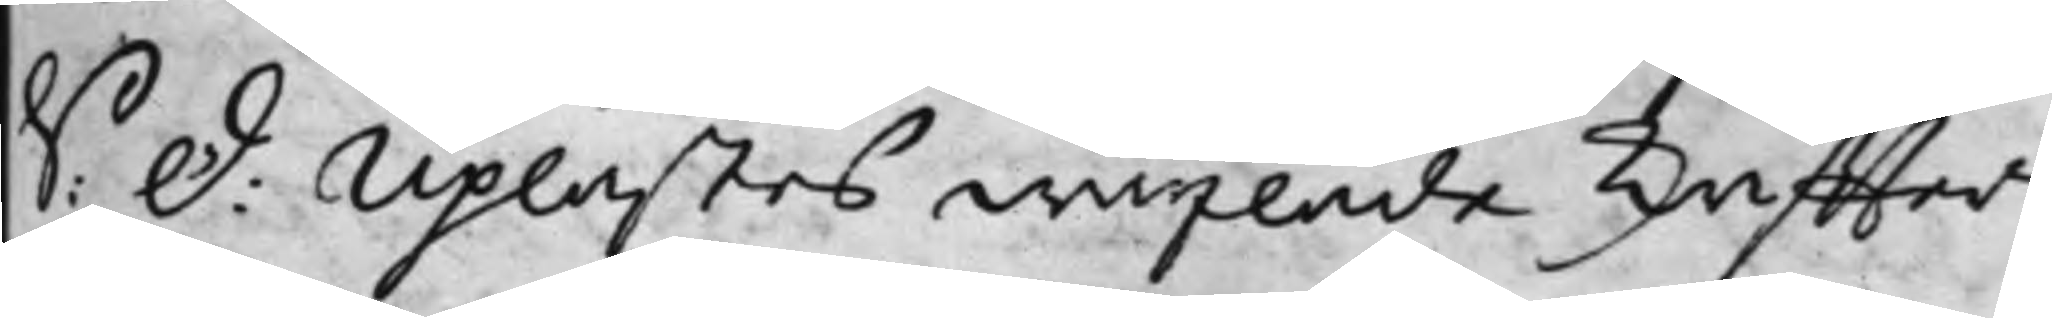S: D: Uplästes wäxlade skriffter
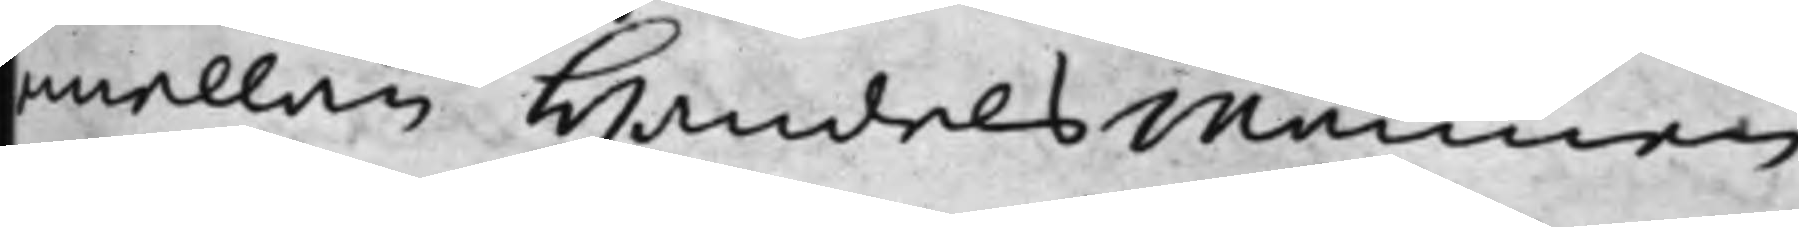mellan Handelsmännen
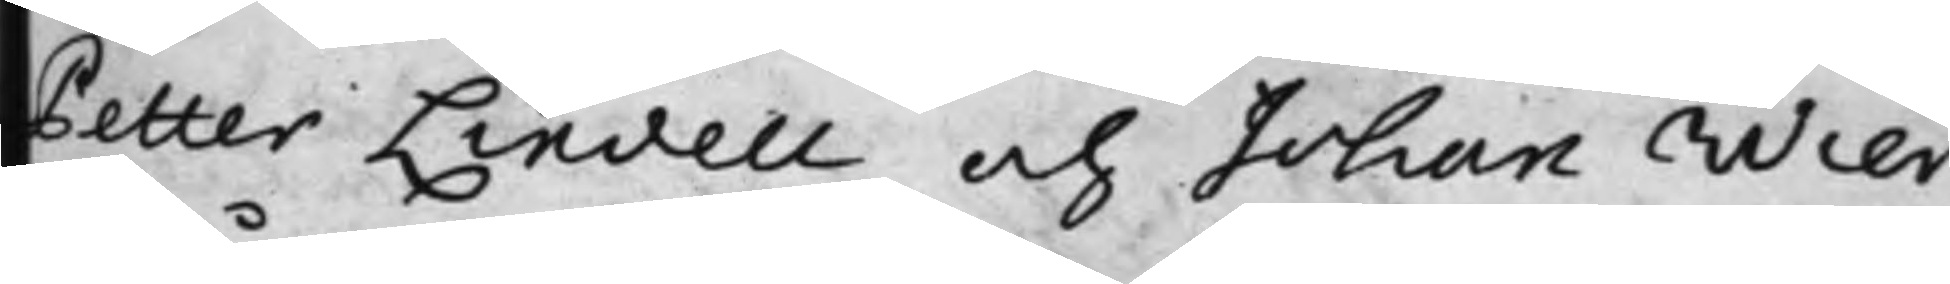Petter Lindell och Johan Wier,
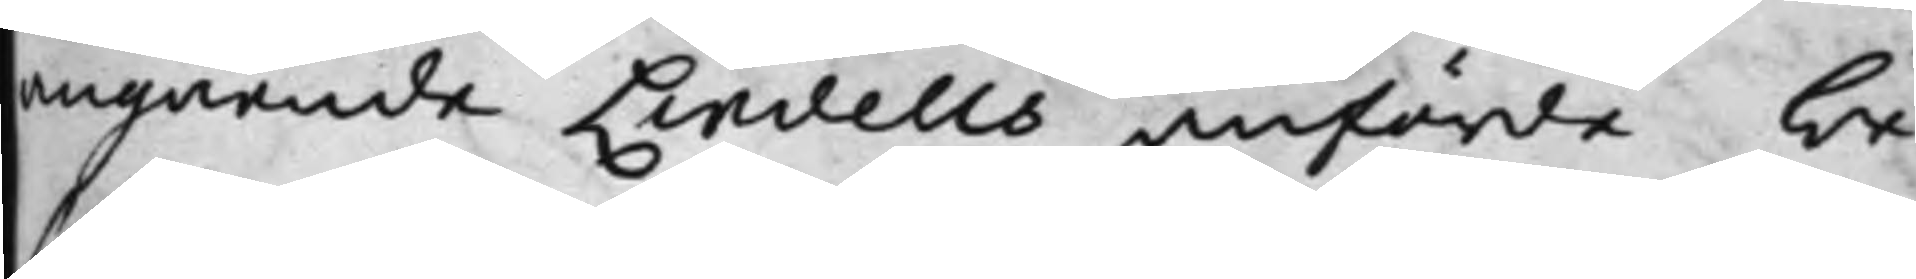angående Lindells anförde be¬
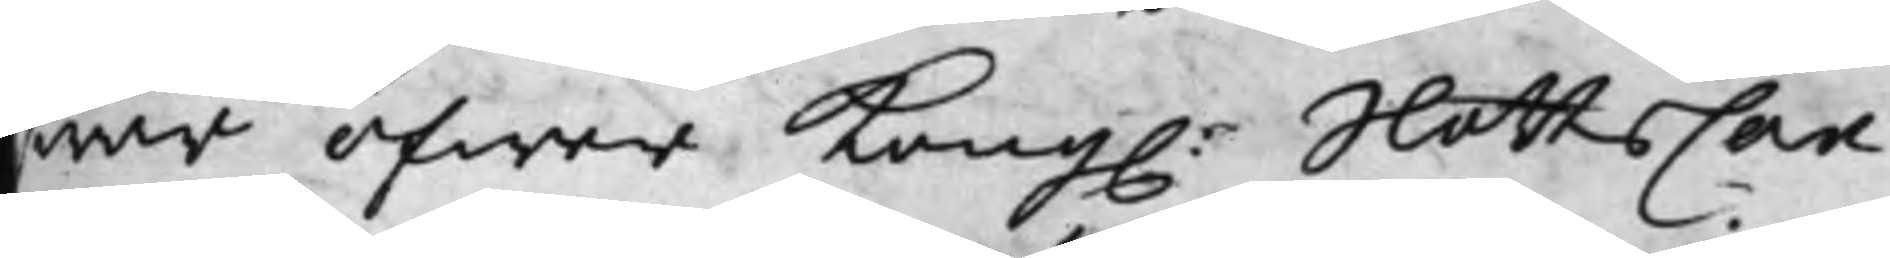war öfwer Kong. SlottsCan¬
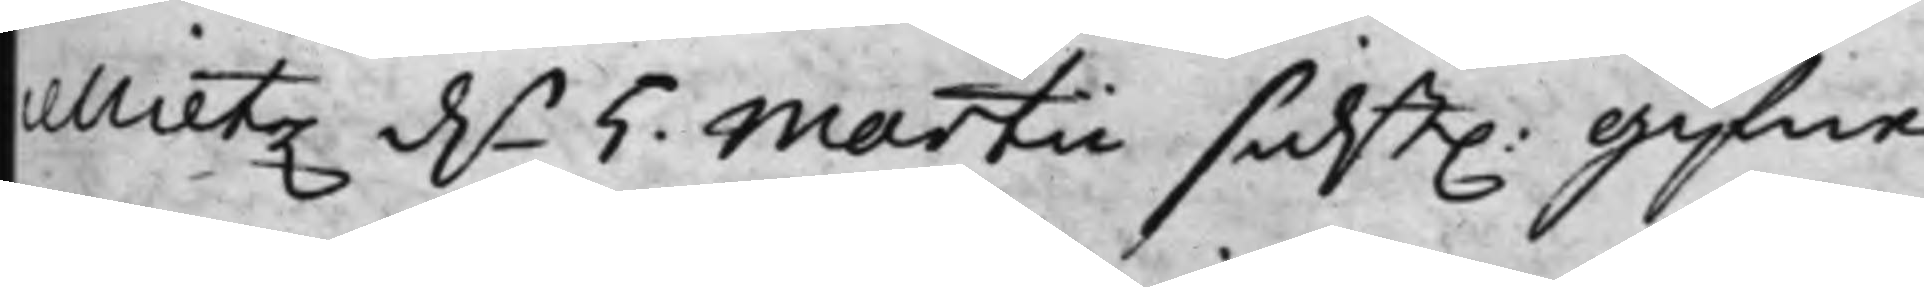cellietz d. 5. Martii sidst. gifne
